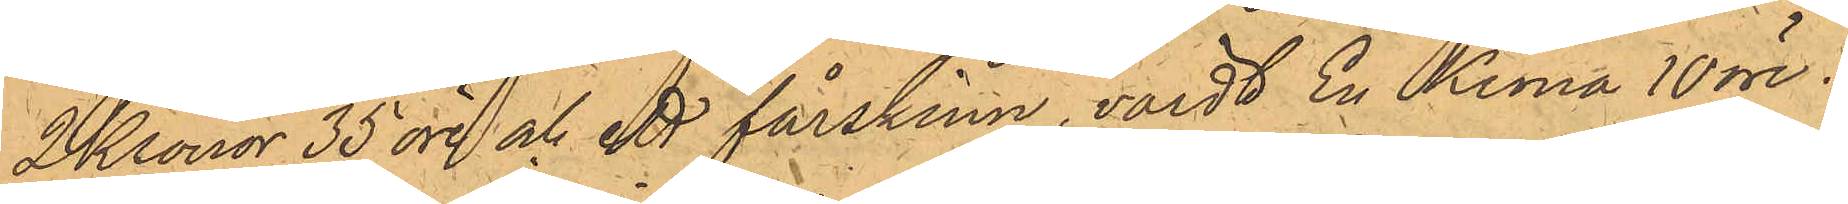2 Kronor 35 öre och ett fårskinn, värdt En Krona 10 öre.
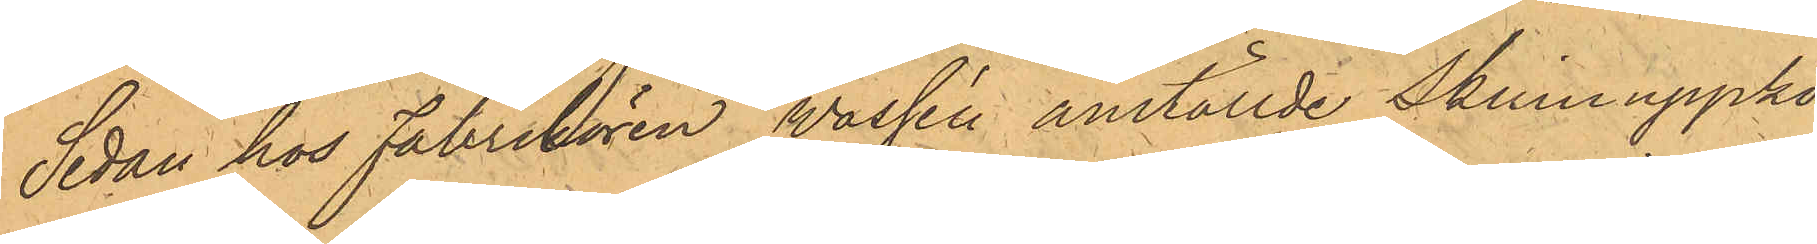Sedan hos Fabrikören Vassén anställde skinnuppkö¬
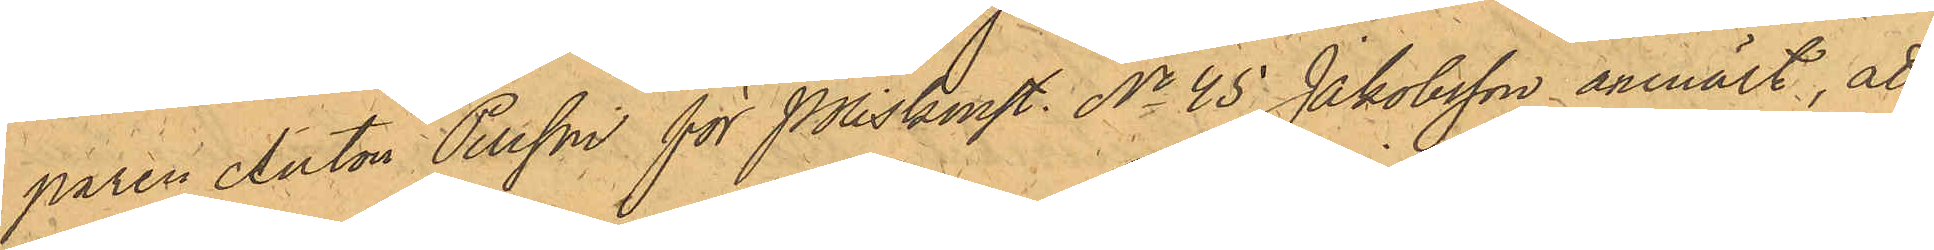paren Anton Persson för Poliskonst No 45 Jakobsson anmält, att
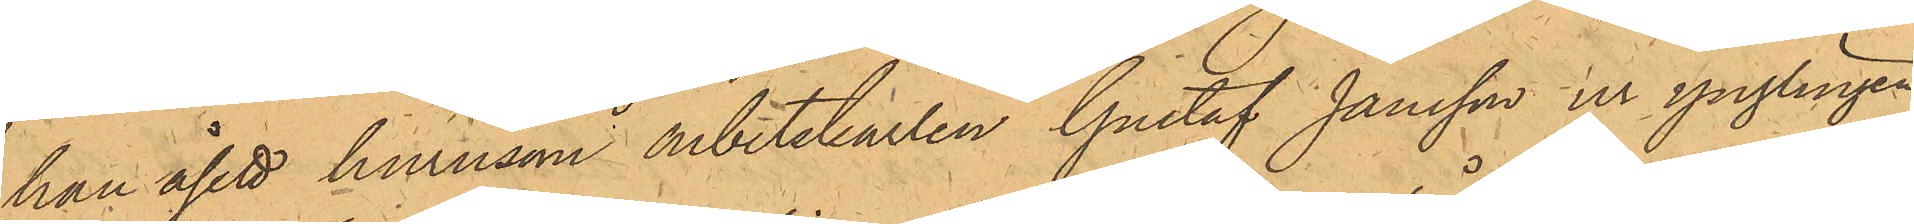han åsett hurusom arbetskarlen Gustaf Jansson ur ynglingen
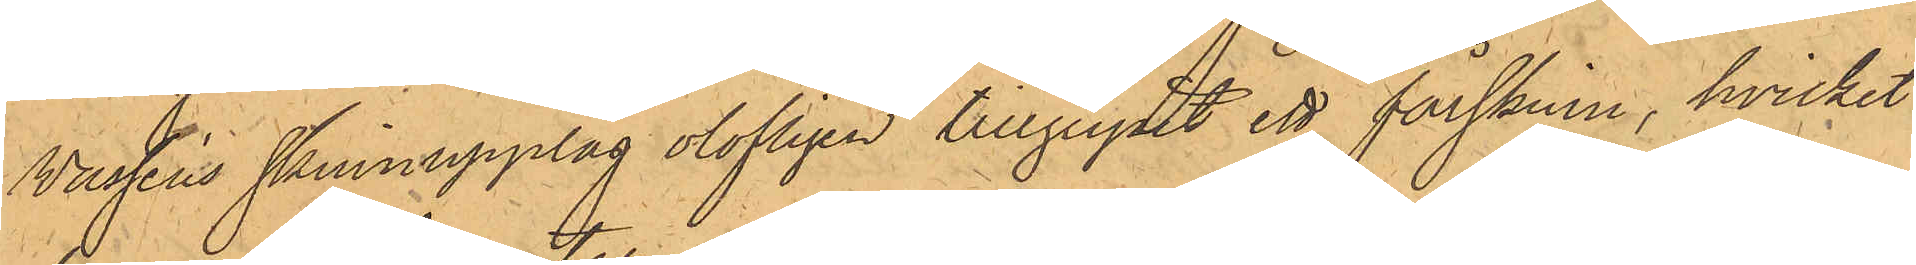Wasséns skinnupplag olofligen tillgripit ett fårskinn, hvilket
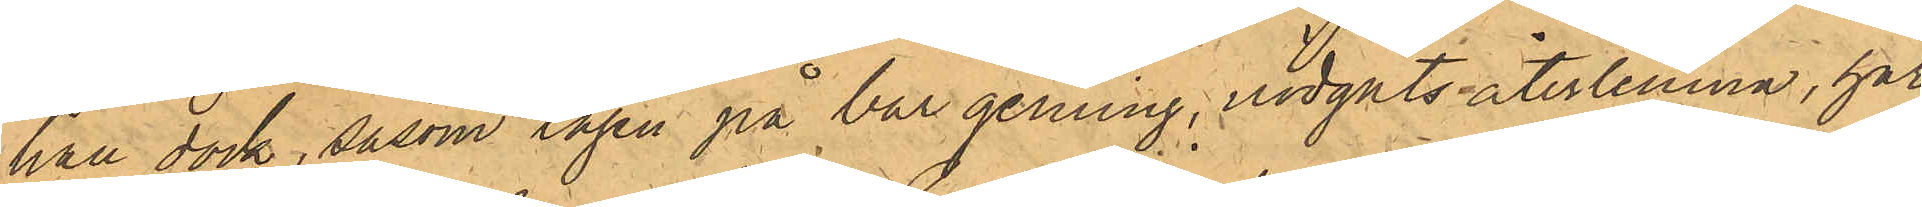han dock, såsom tagen på bar gerning, nödgats återlemna, har
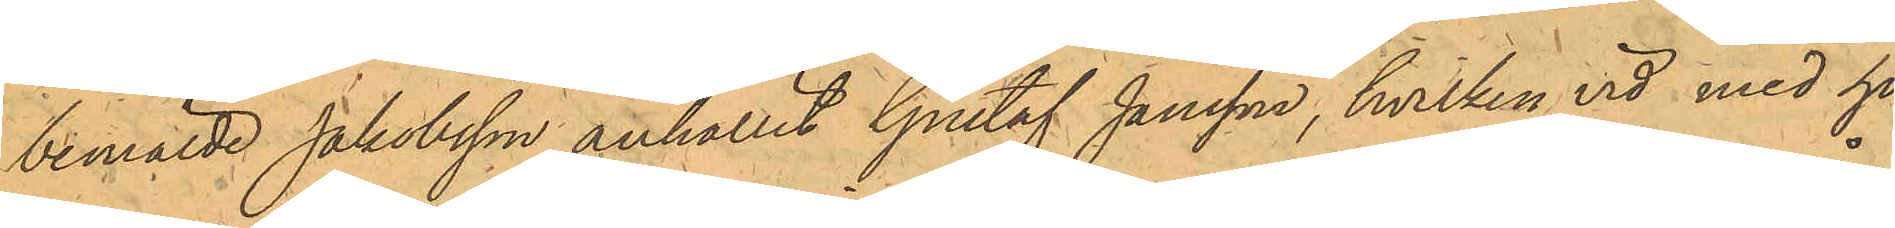bemälde Jakobsson anhållit Gustaf Jansson, hvilken vid med ho¬
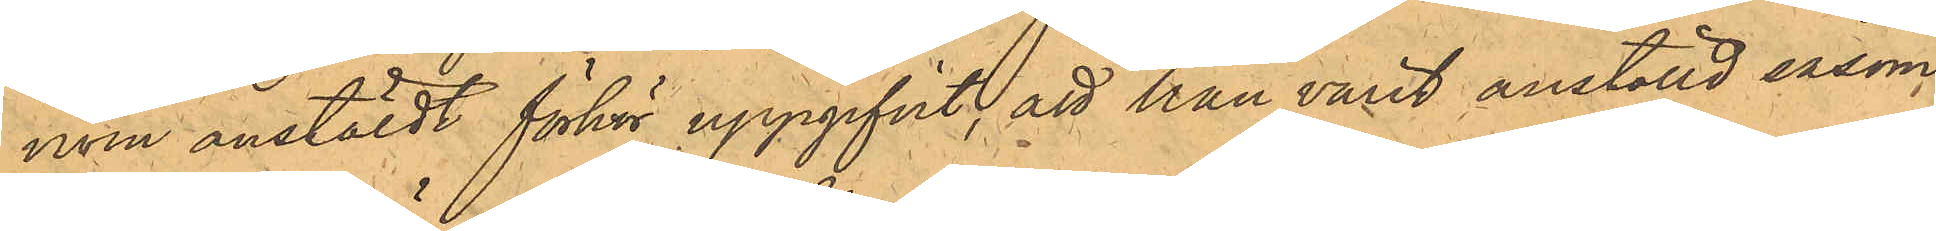nom anstäldt förhör uppgifvit, att han varit anställd såsom
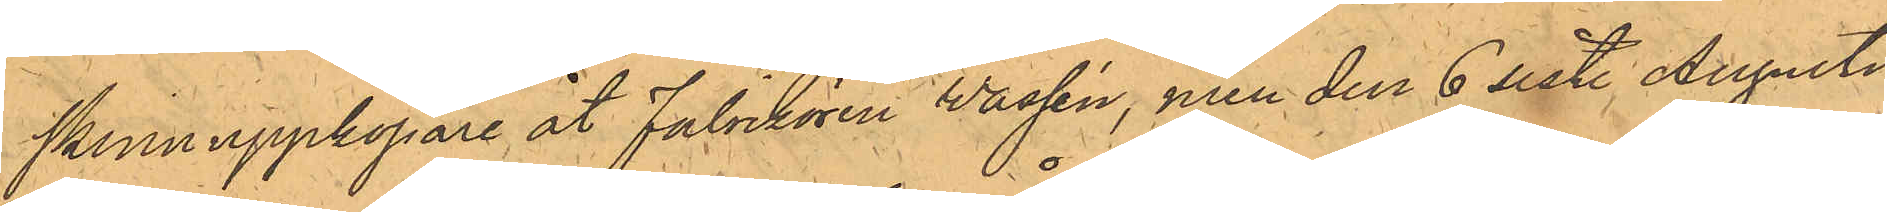skinnuppköpare åt Fabrikören Wassén, men den 6 sist. Augusti
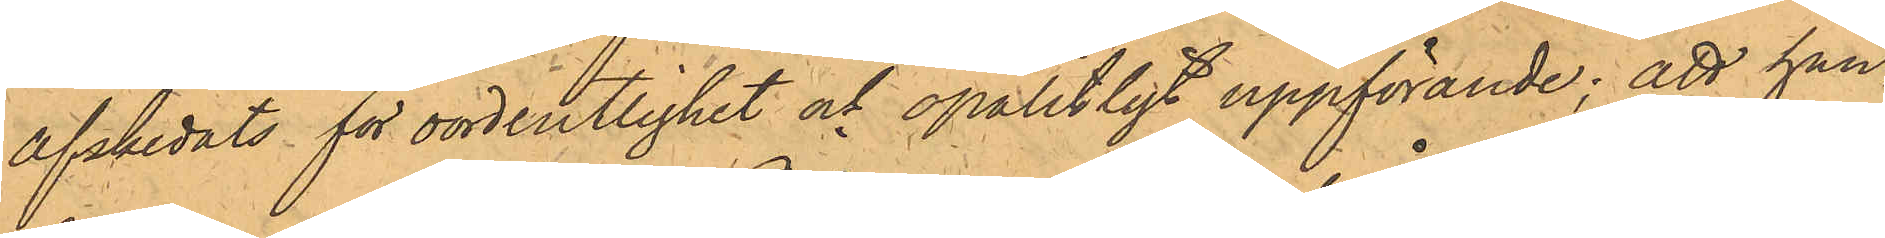afskedats för oordentlighet och opålitligt uppförande; att han,
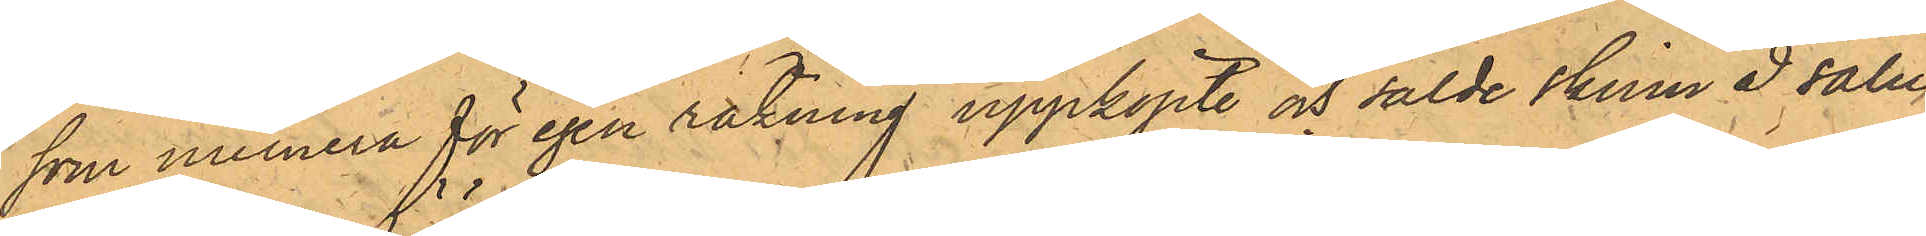som numera för egen räkning uppköpte och sålde skinn å salu¬
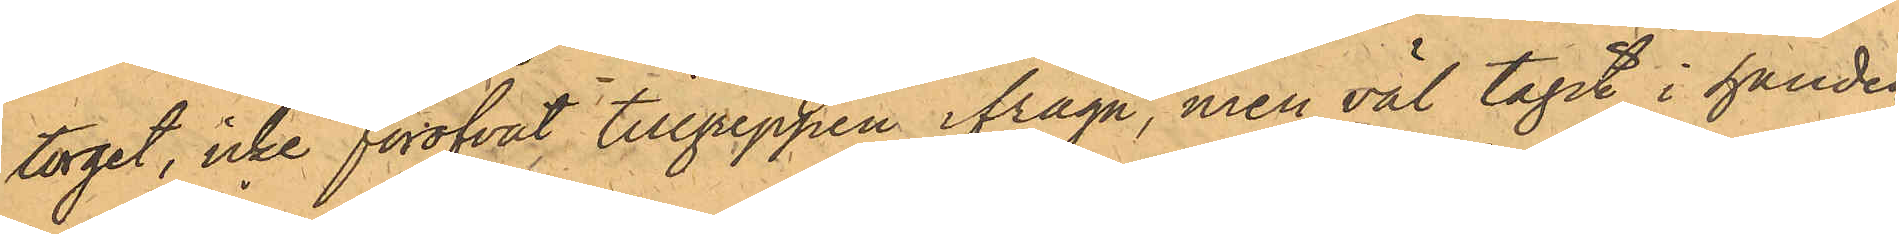torget, icke föröfvat tillgreppen ifråga, men väl tagit i handen
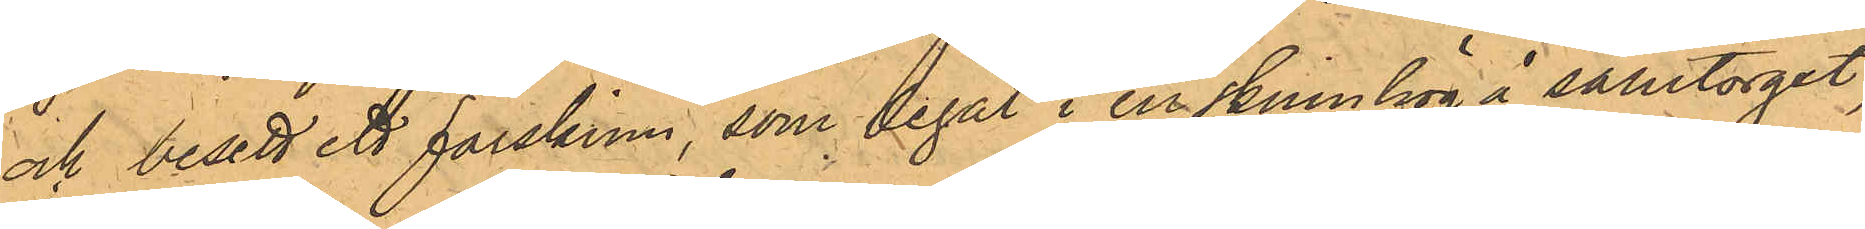och besett ett fårskinn, som legat i en skinnhög å salutorget,
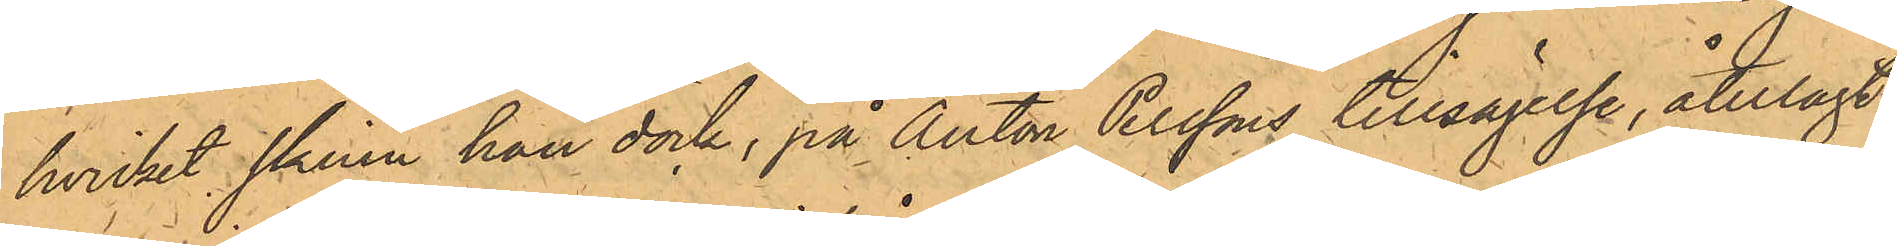hvilket skinn han dock, på Anton Perssons tillsägelse, återlagt
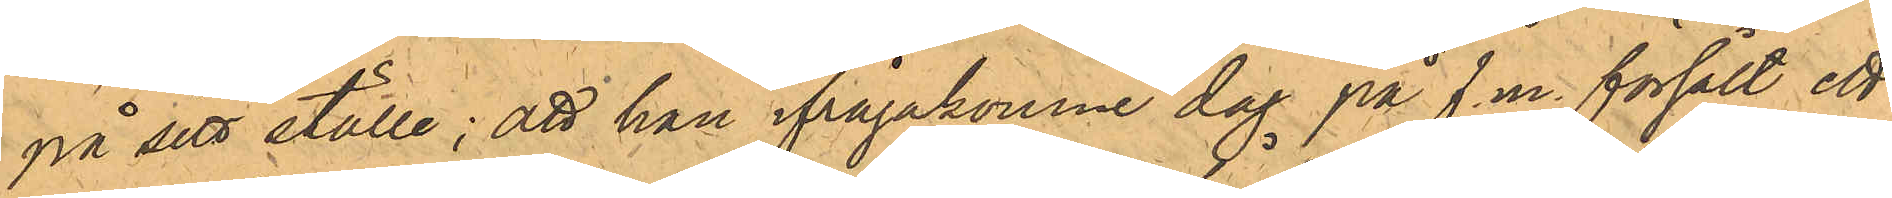på sitt ställe; att han ifrågakomne dag på f.m. försålt ett
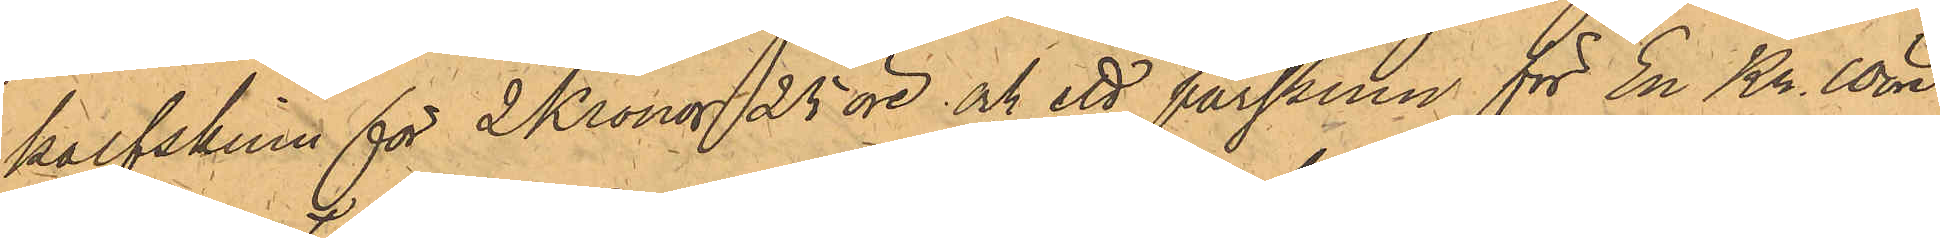kalfskinn för 2 Kronor 25 öre och ett fårskinn för En Kr. 10 öre
